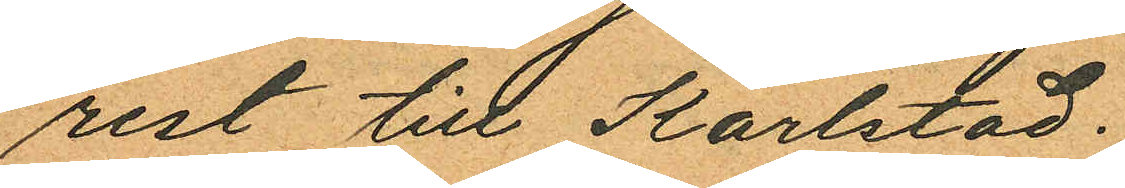rest till Karlstad.
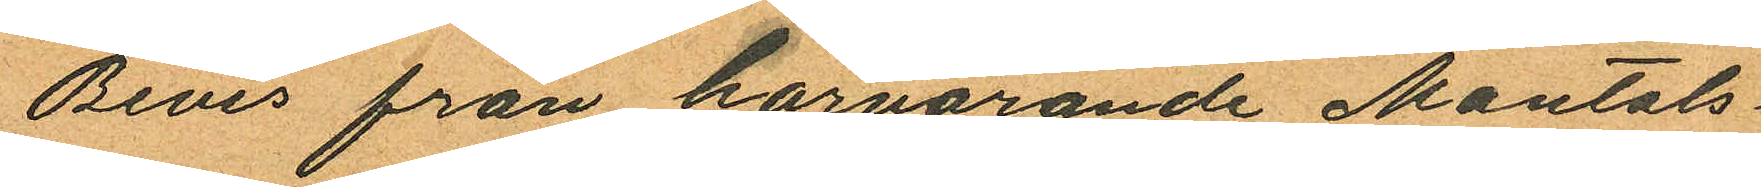Bevis från härvarande Mantals¬
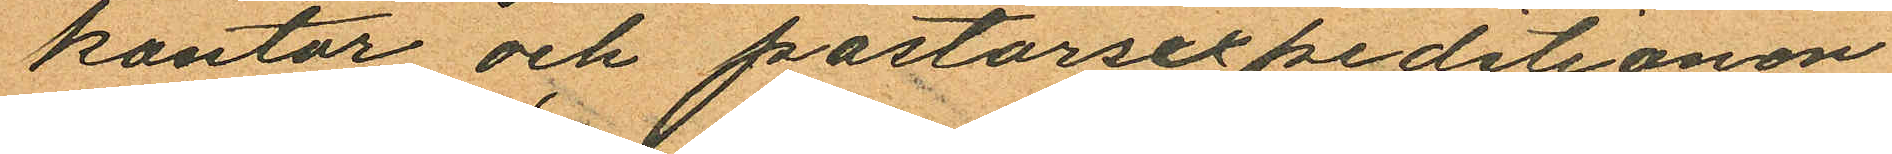kontor och pastorsexpeditionen
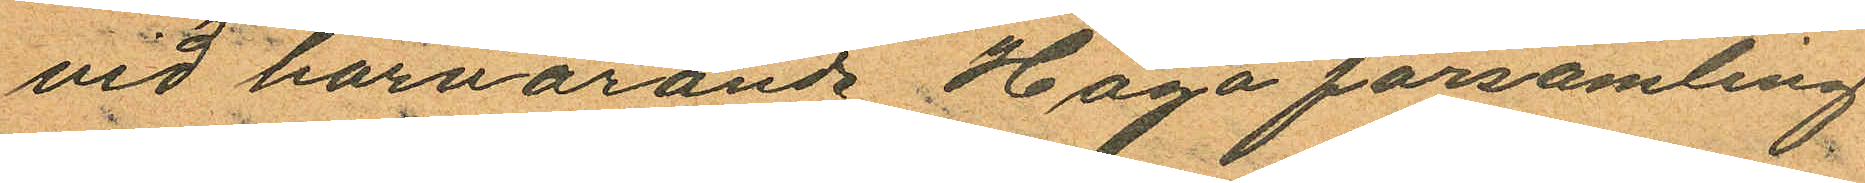vid härvarande Haga församling
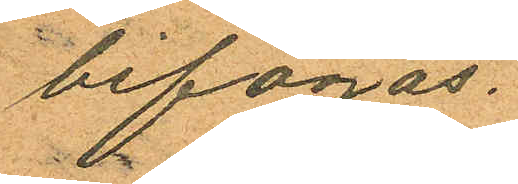bifogas.
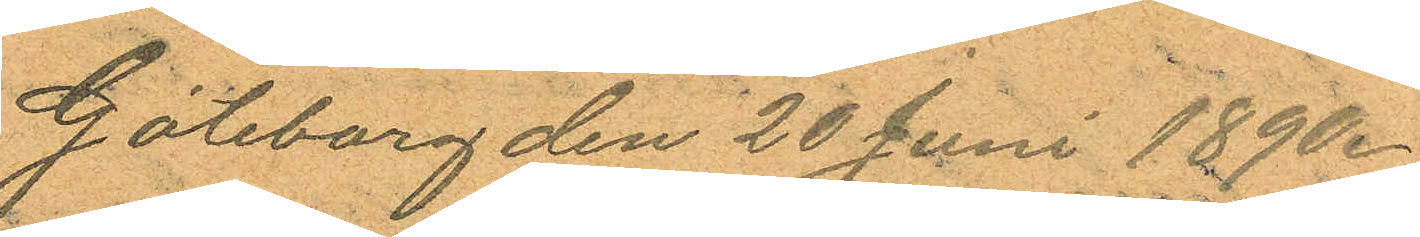Göteborg den 20 Juni 1890.
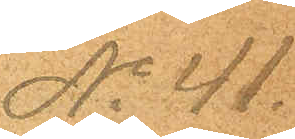No 41.
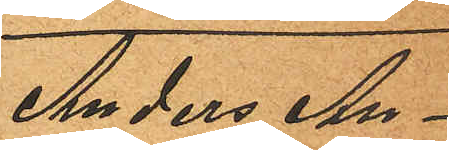Anders An¬
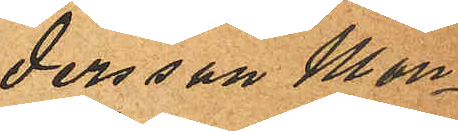dersson Mon¬
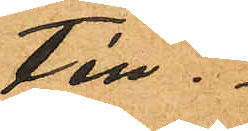tén.
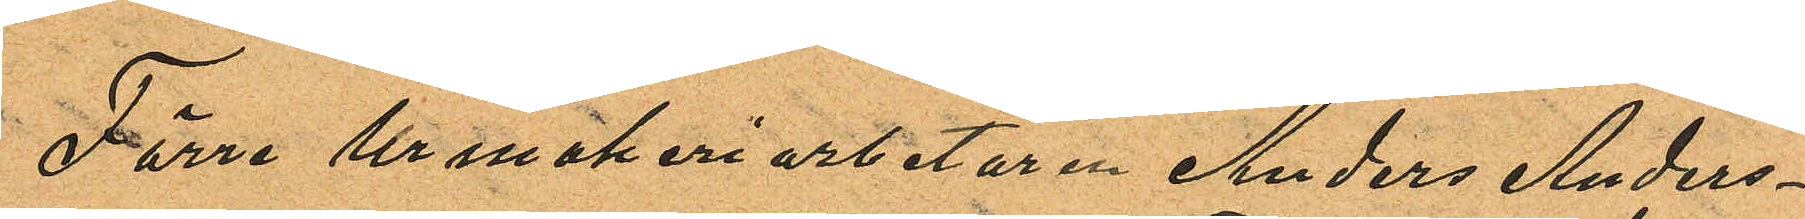Förre Urmakeriarbetaren Anders Anders¬
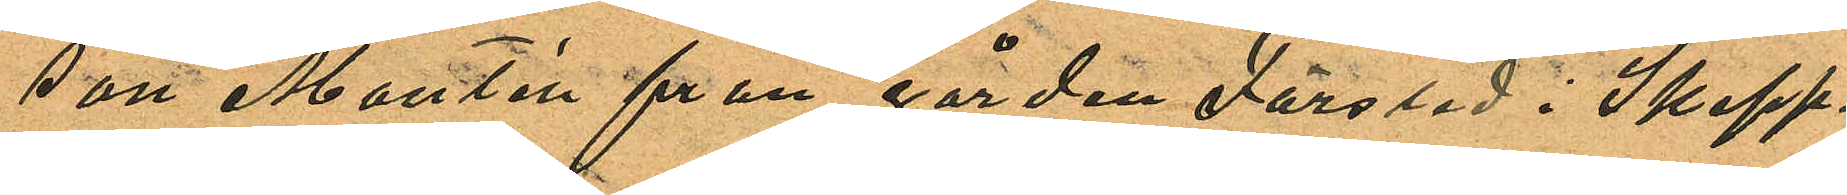son Montén från gården Färstad i Skepp¬
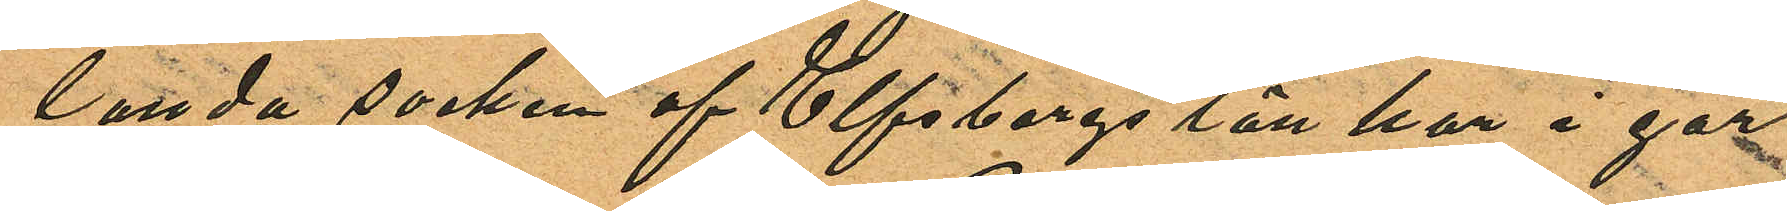landa socken af Elfsborgs län har i går
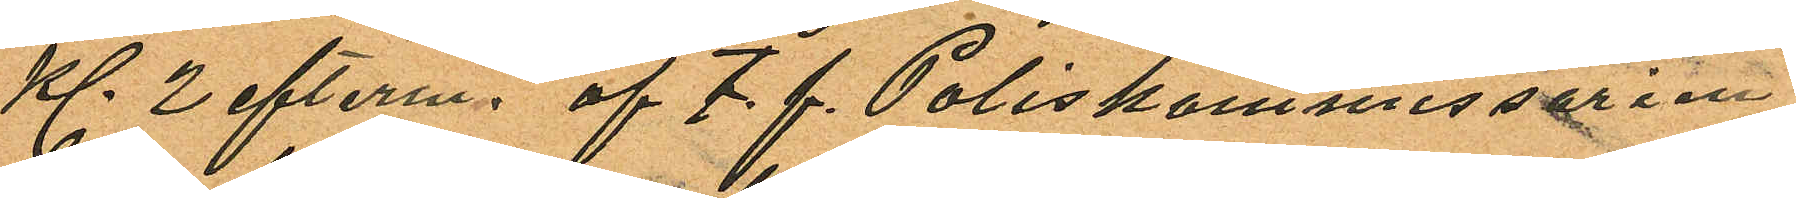kl. 2 efterm. af t. f. Poliskommissarien
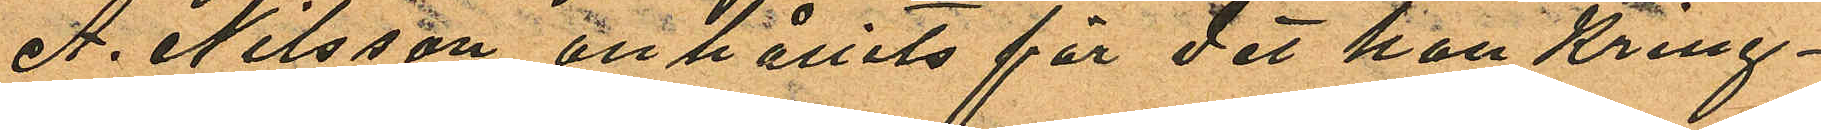A. Nilsson anthållits för det han kring¬
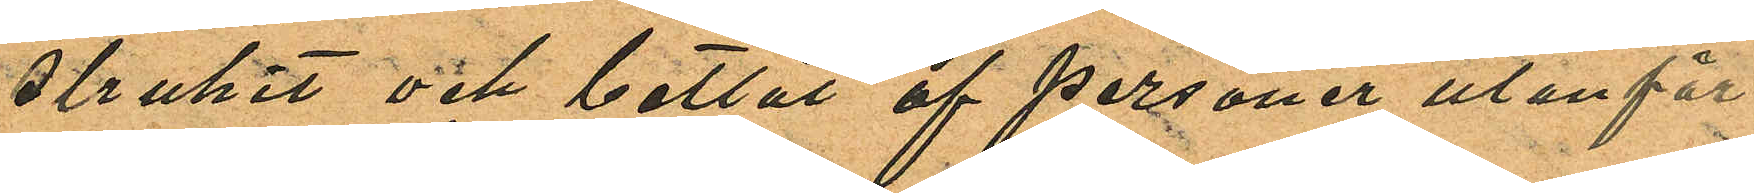strukit och betlat af personer utanför
